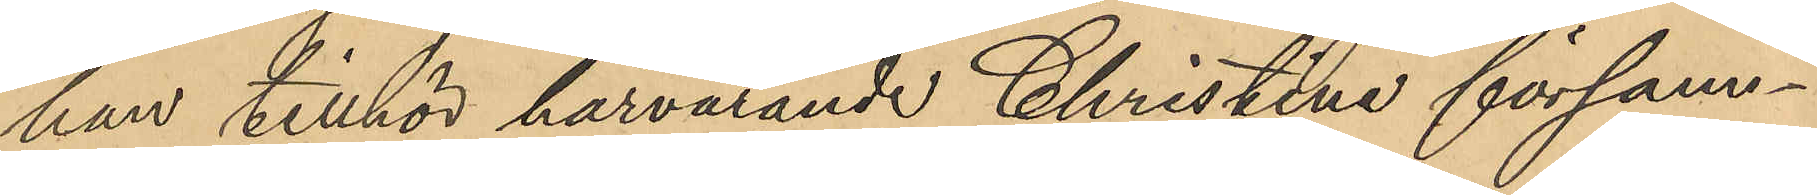han tillhör härvarande Christine försam¬
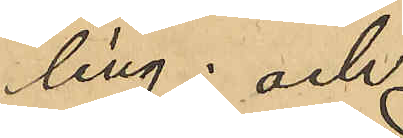ling; och
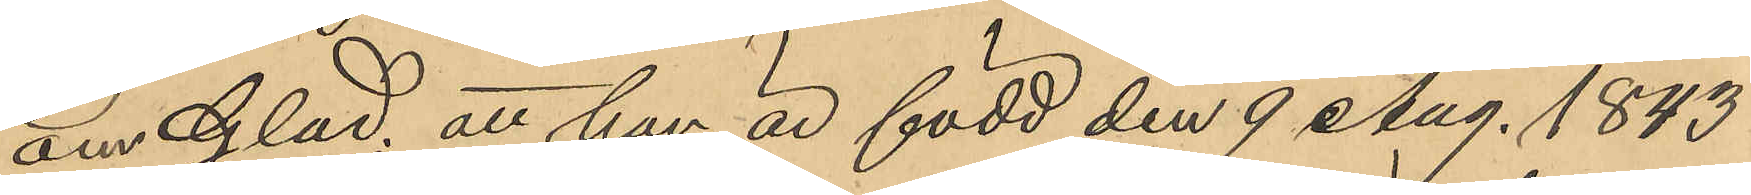om Glad; att han är född den 9 Aug. 1843.
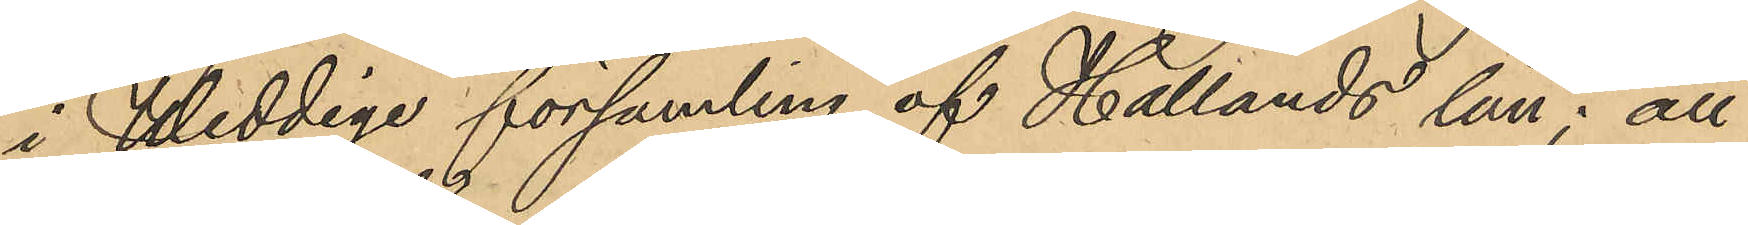i Weddige församling af Hallands län; att
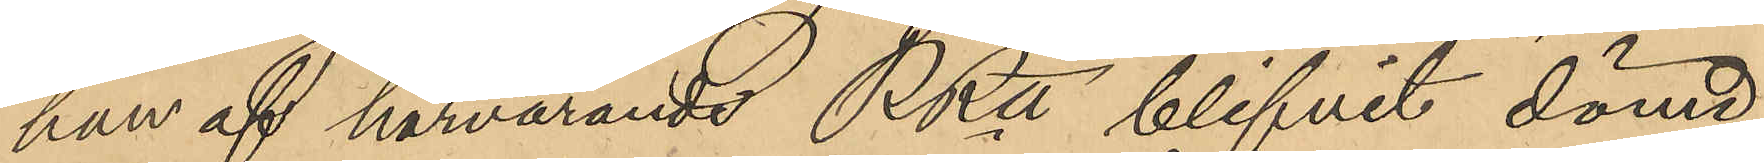han af härvarande RRtt blifvit dömd
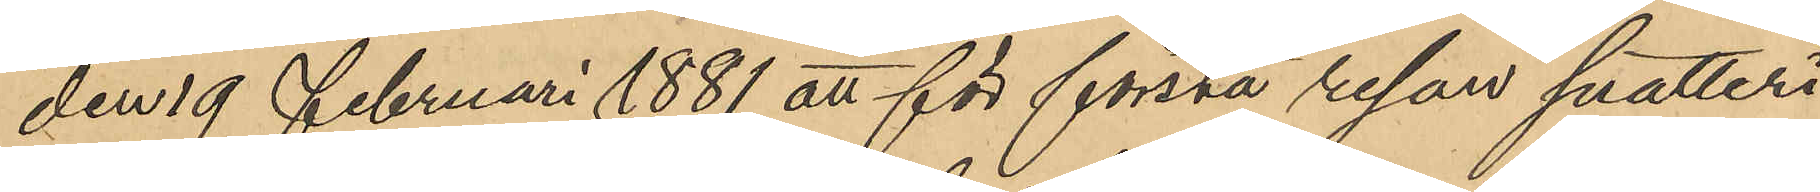den 19 Februari 1881 att för första resan snatteri
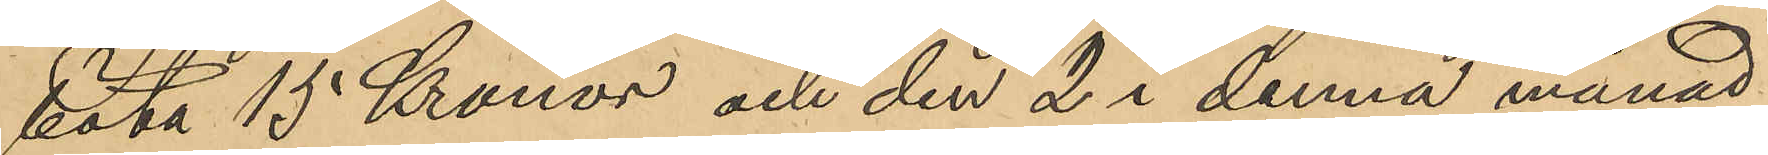böta 15 Kronor och den 2 i denna månad
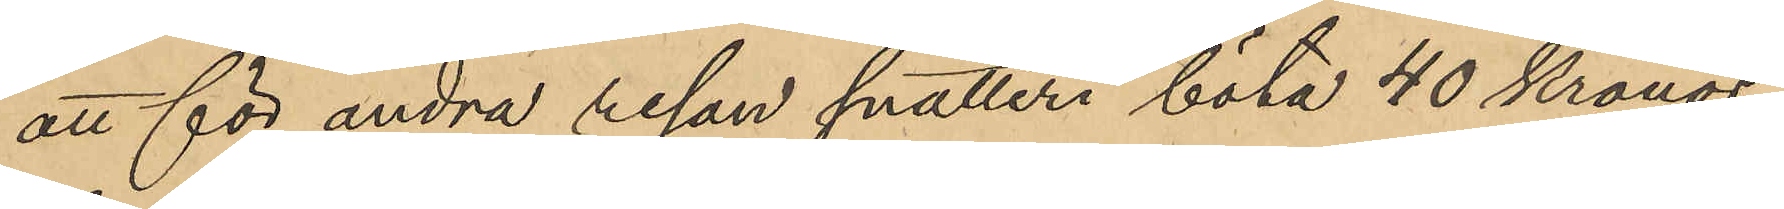att för andra resan snatteri böta 40 Kronor;
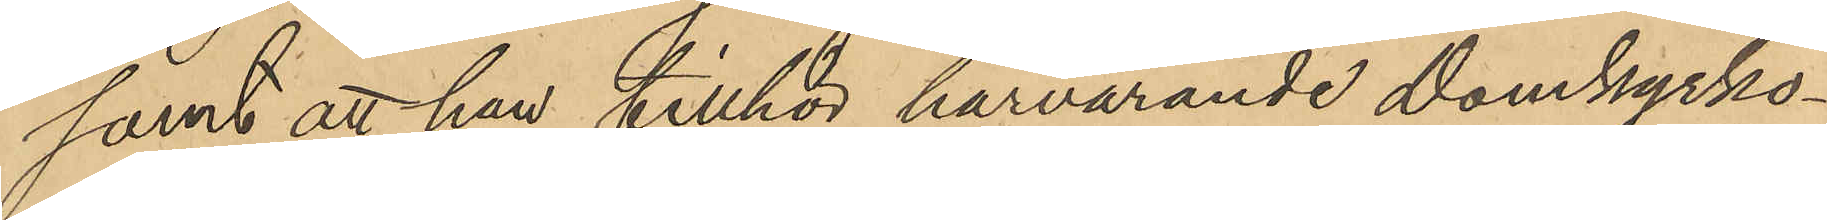samt att han tillhör härvarande Domkyrko¬
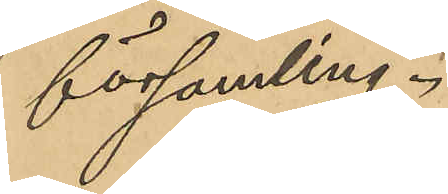församling.
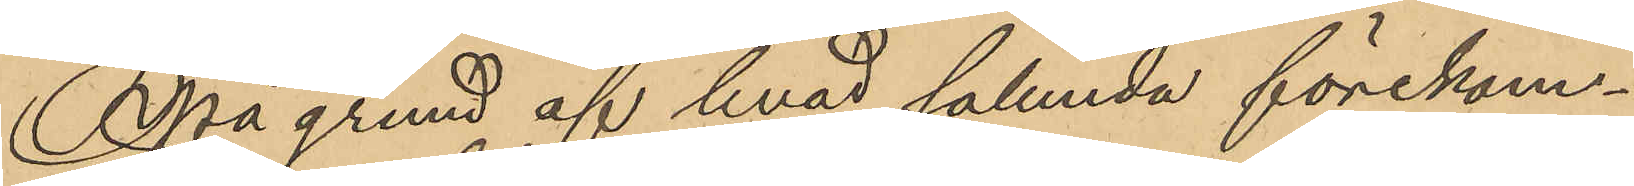På grund af hvad sålunda förekom¬
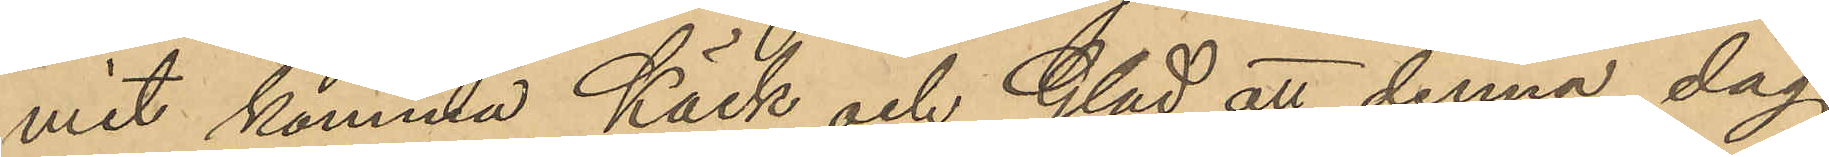mit komma Käsk och Glad att denna dag
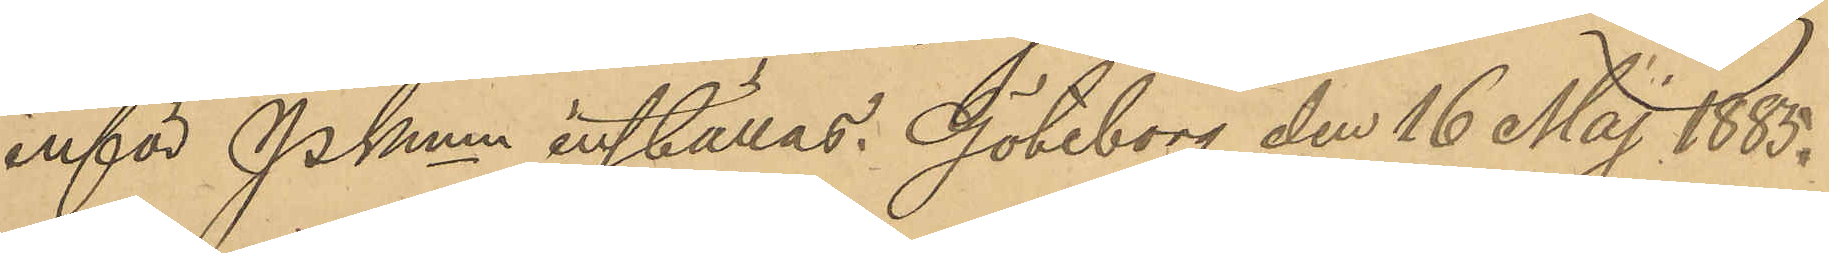inför PKmn inställas. Göteborg den 16 Maj 1885.
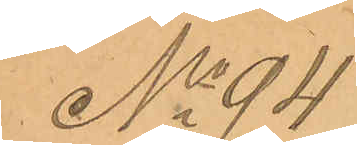No 94
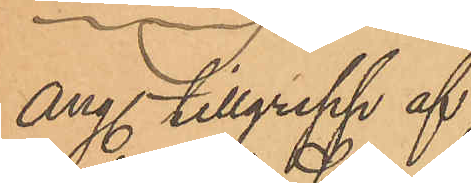ang. tillgrepp af
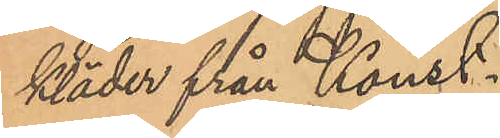kläder från Konst¬
